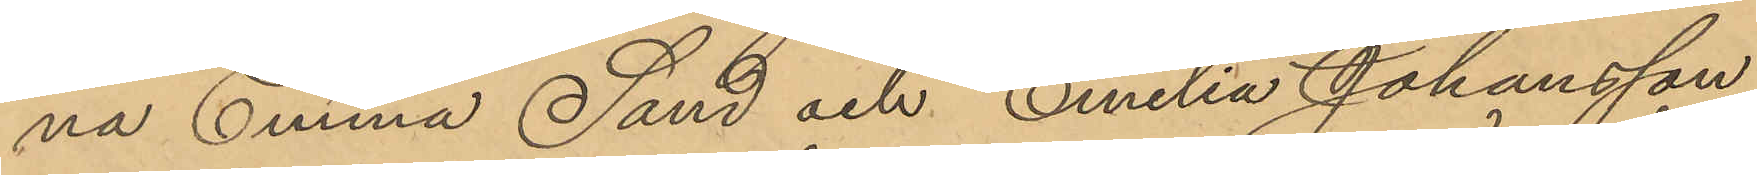na Emma Sand och Emilia Johansson
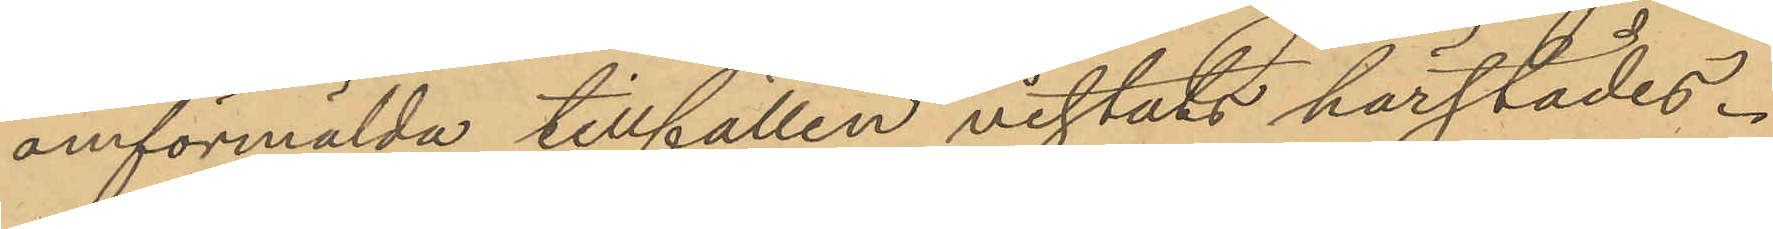omförmälda tillfällen vistats härstädes.
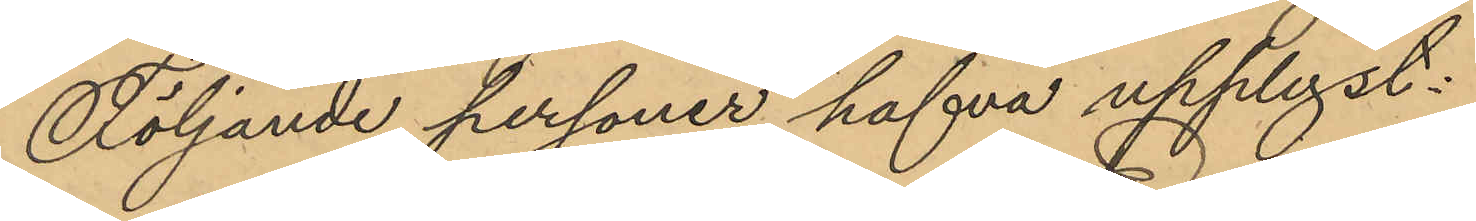Följande personer hafva upplyst:
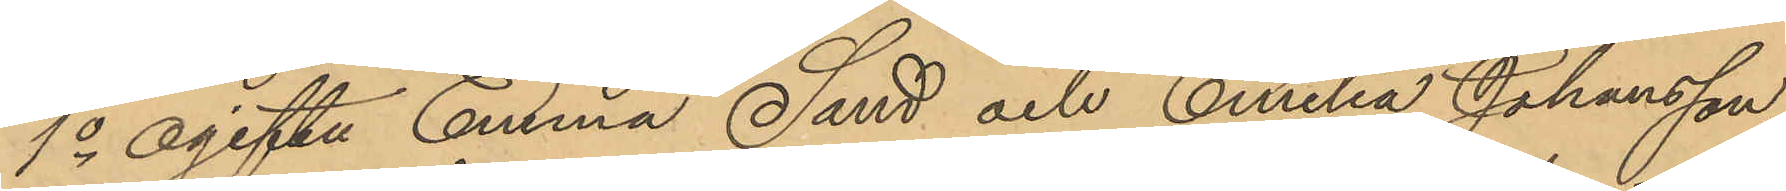1o ogifta Emma Sand och Emilia Johansson
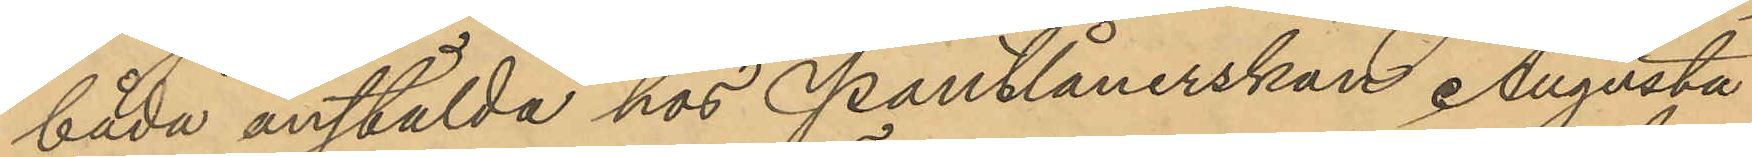båda anstälda hos Pantlånerskan Augusta
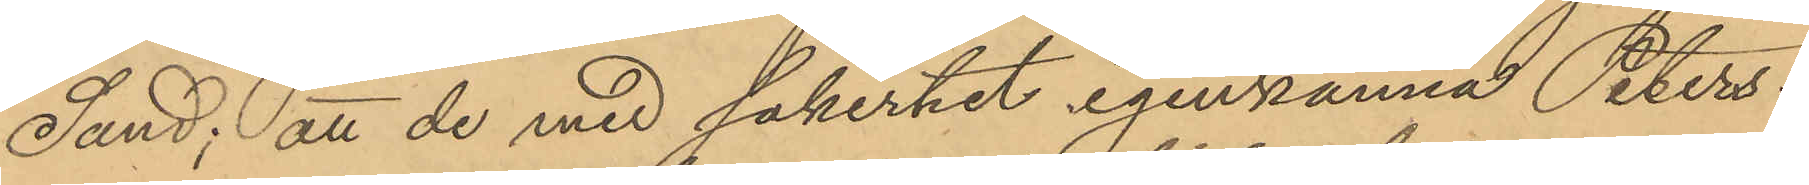Sand; att de med säkerhet igenkänna Peters¬
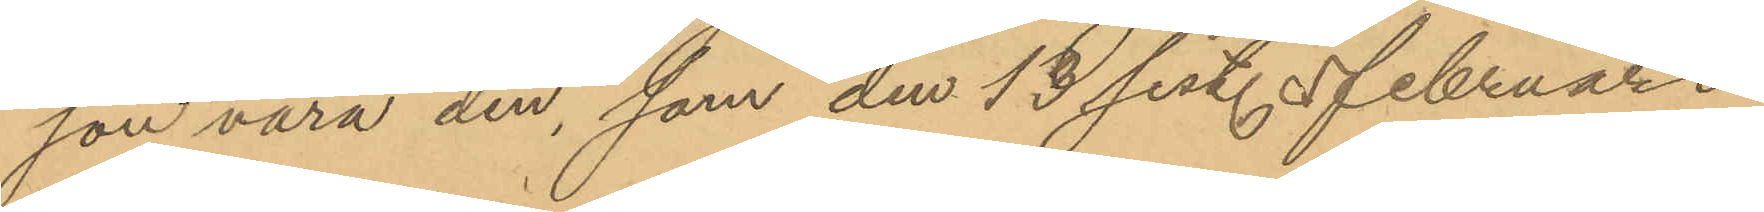son vara den, som den 13 sist. Februari
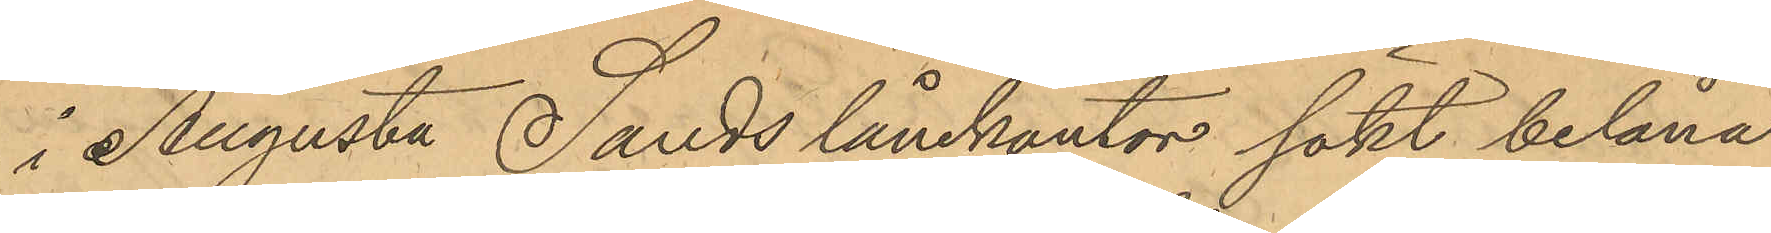i Augusta Sands lånekontor sökt belåna
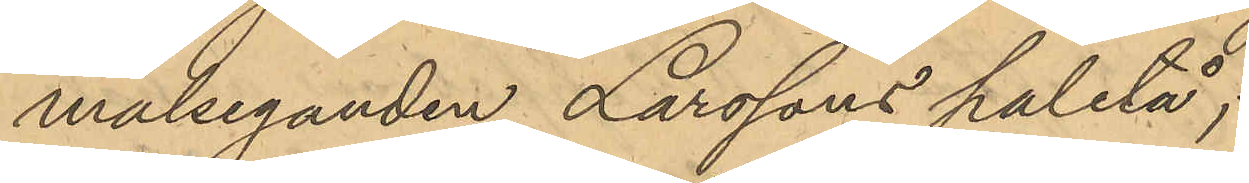målseganden Larssons paletå;
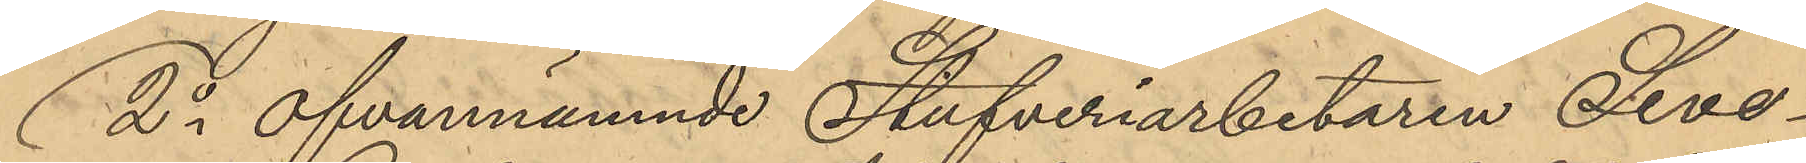2o ofvannämnde Stufveriarbetaren Seve¬
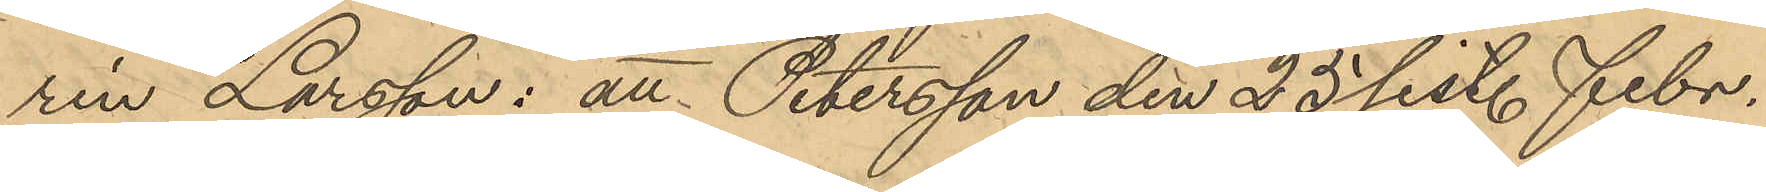rin Larsson: att Petersson den 25 sist. Febr.
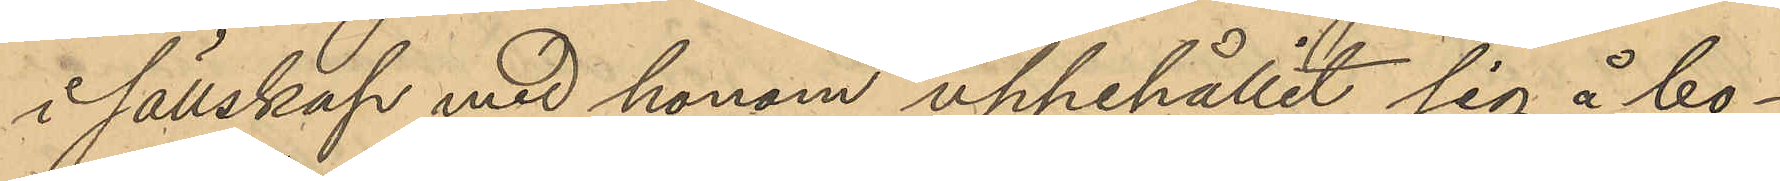i sällskap med honom uppehållit sig å bo¬
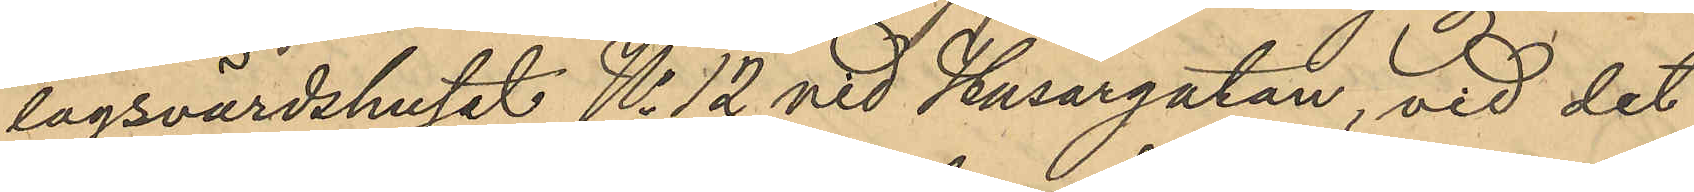lagsvärdshuset No 12 vid Husargatan, vid det
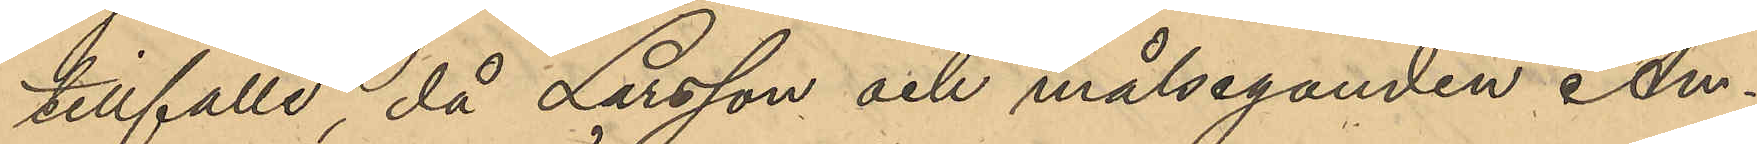tillfälle, då Larsson och målseganden An¬
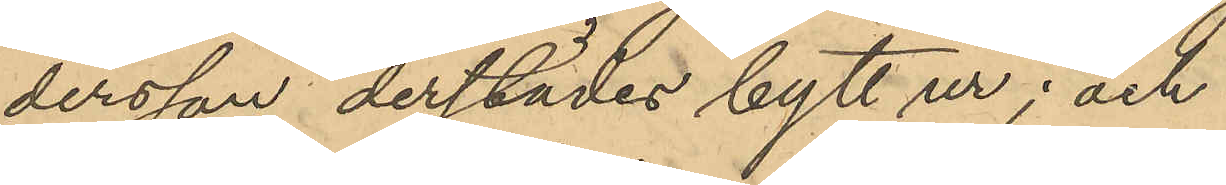dersson derstädes bytt ur; och
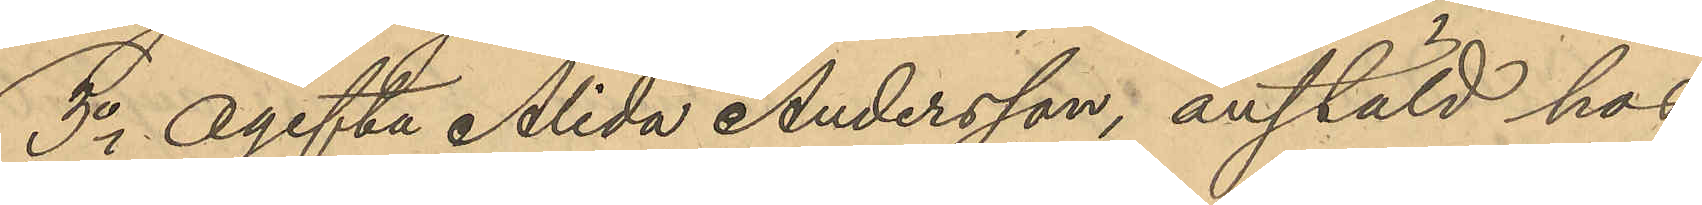3o Ogifta Alida Andersson, anstäld hos
